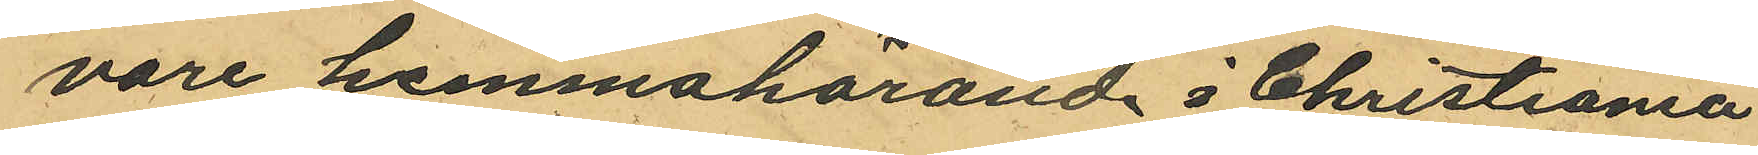vore hemmahörande i Christiania
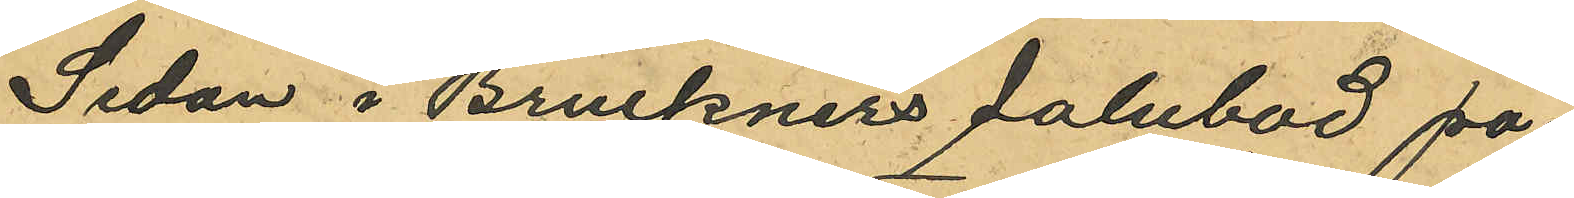Sedan i Bruckners salubod på¬
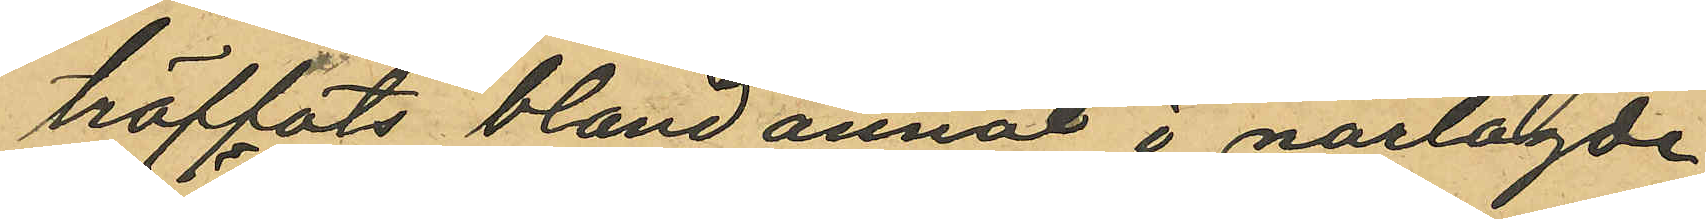träffats bland annat i närlagde
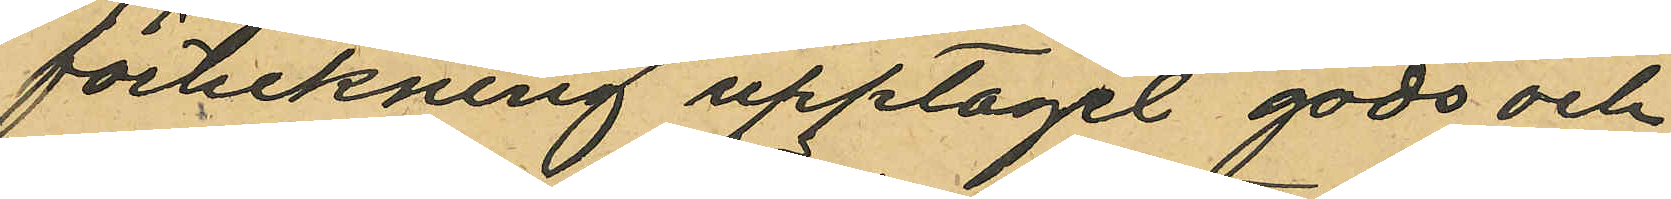förteckning upptagit gods och
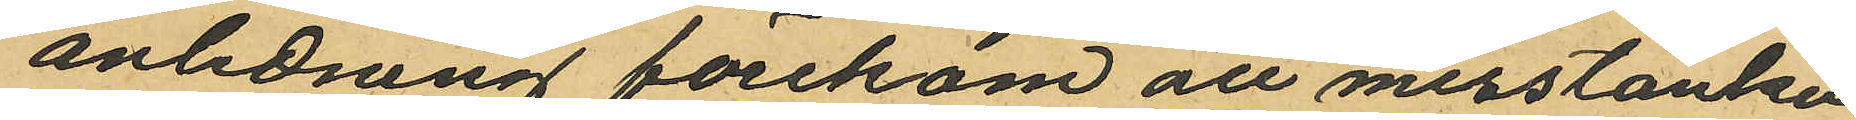anledning förekom att misstanke
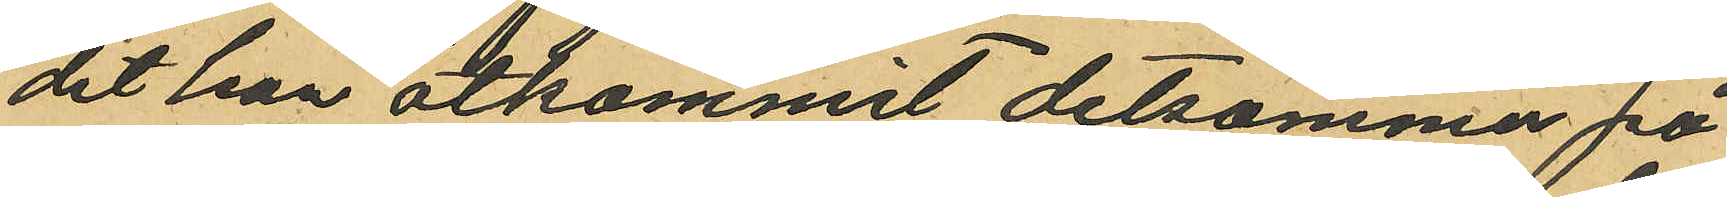det han åtkommit detsamma på
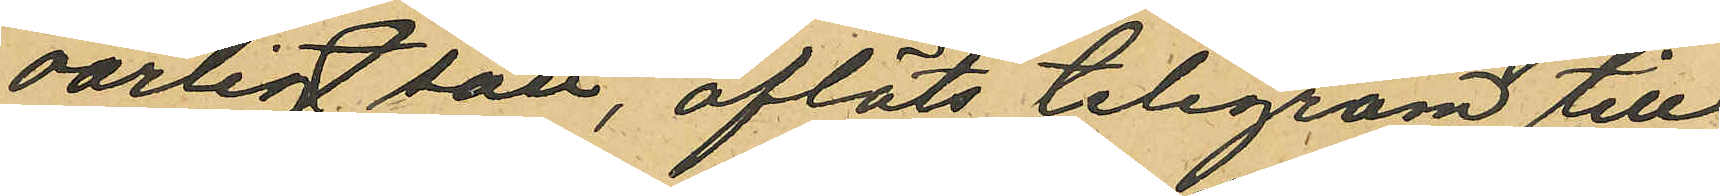oärligt sätt, afläts telegram till
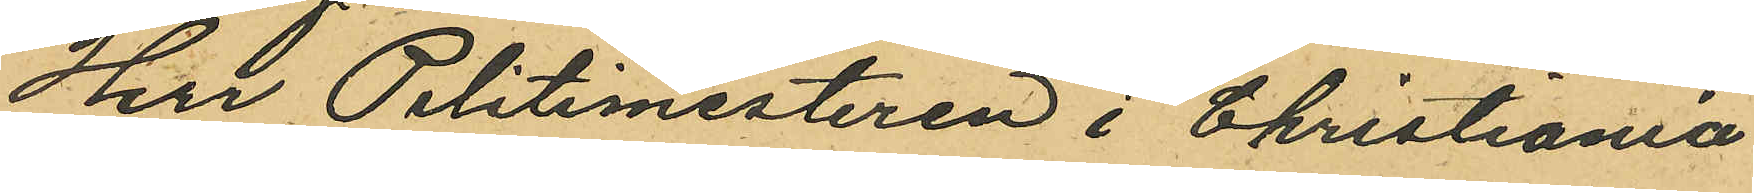Herr Politimesteren i Christiania
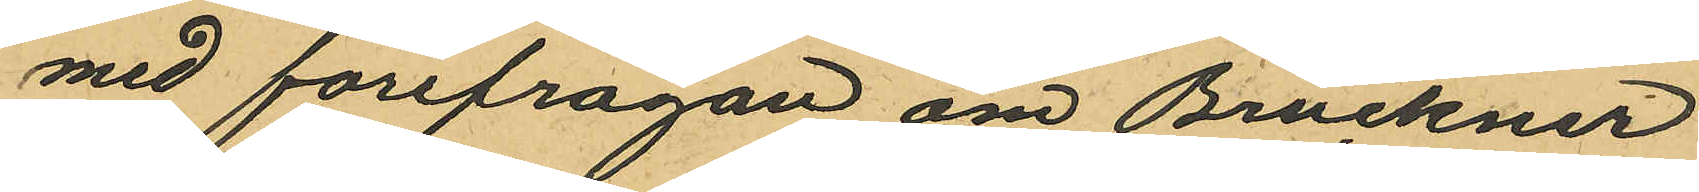med förefrågan om Bruckner
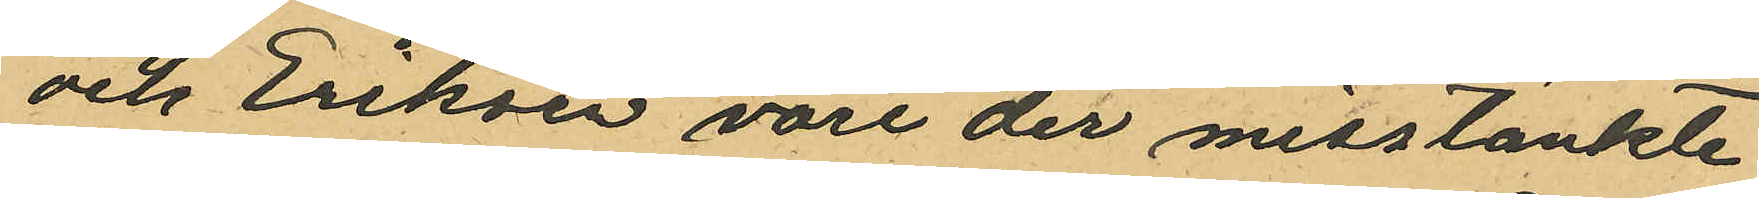och Eriksen vore der misstänkte
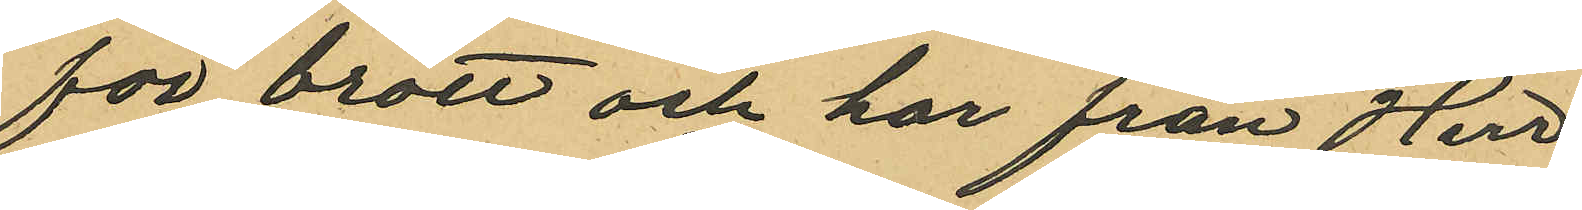för brott och har från Herr
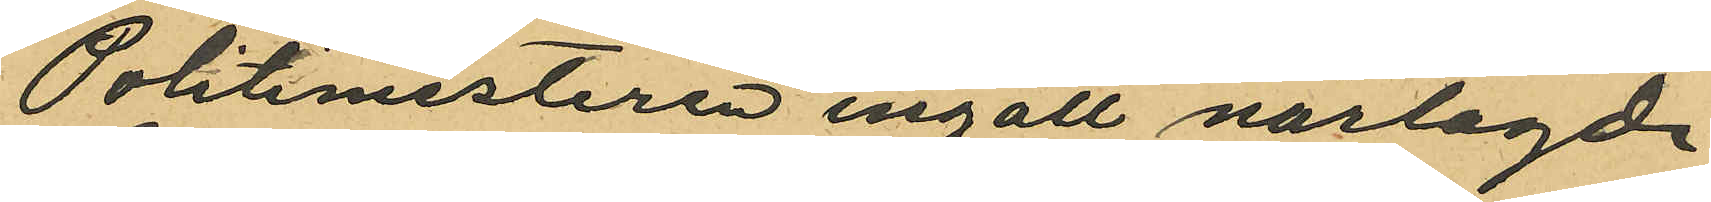Politimesteren ingått närlagde
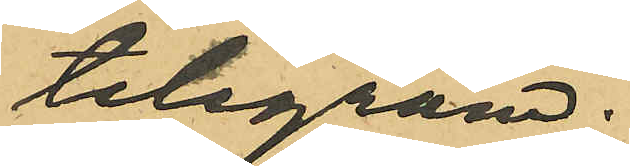telegram.
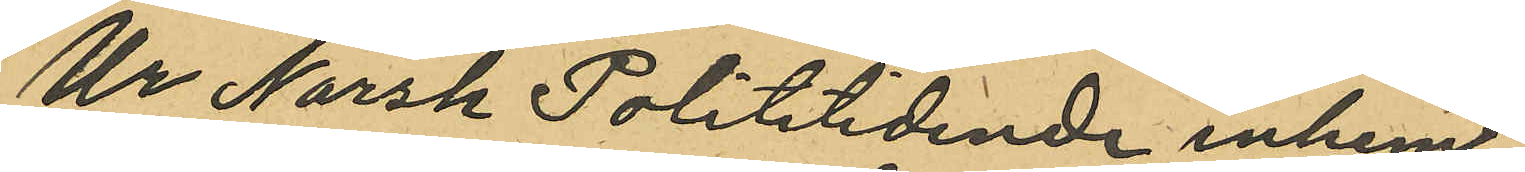Ur Norsk Polititidende inhem¬
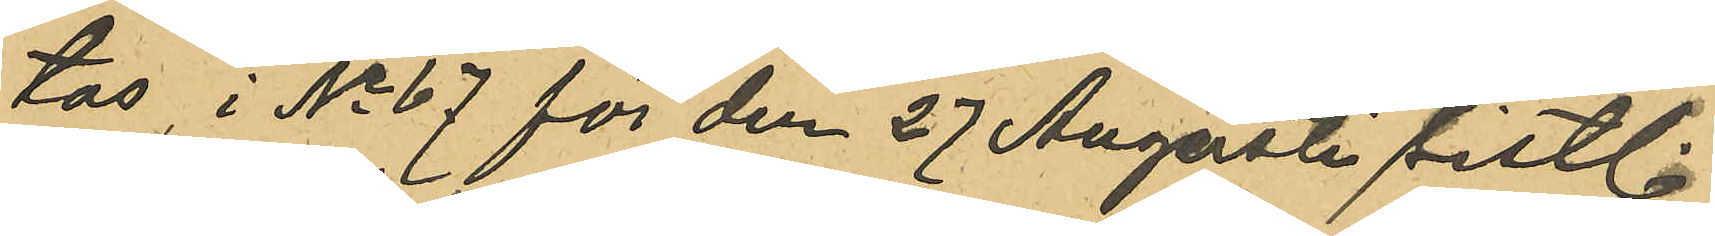tas, i No 67 för den 27 Augusti sistl.
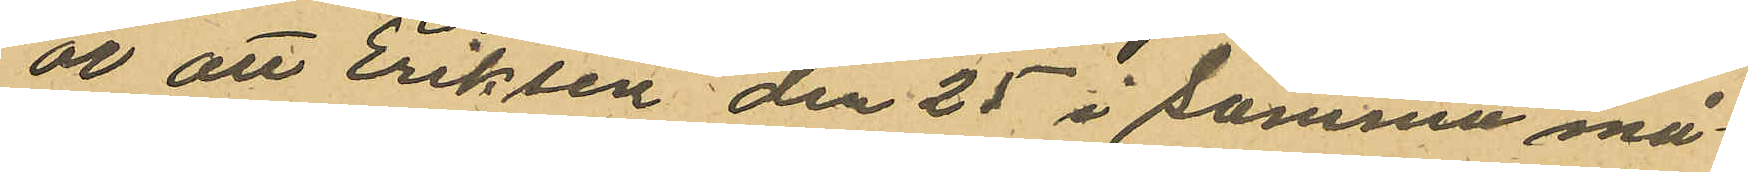år att Eriksen den 25 i samma må¬
